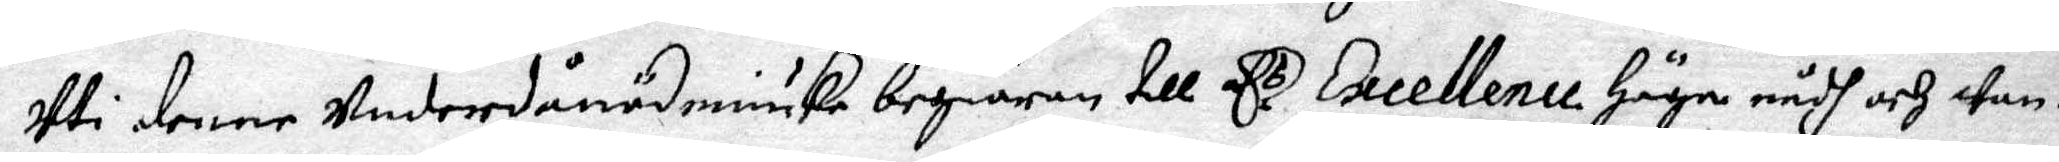uti denne underdånödmiuke begiäran till E.s Excellence Höga nådh och wan¬
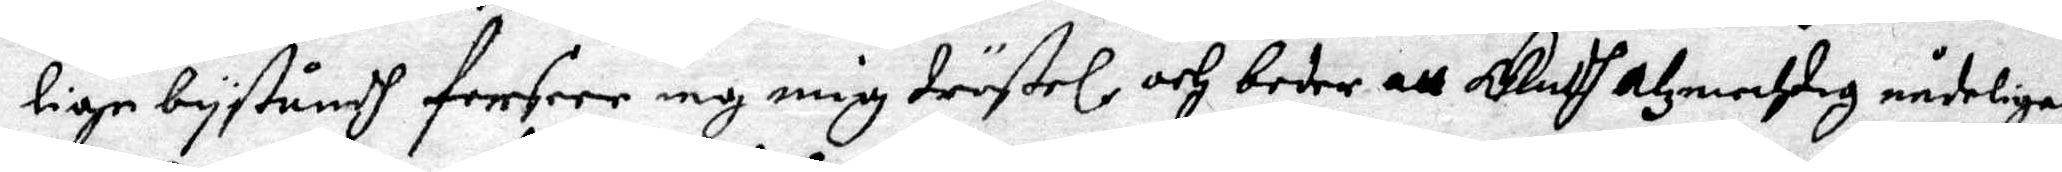lige byståndh forseer iag mig tröstel och beder att Gudh Alzmechtig nådeligen
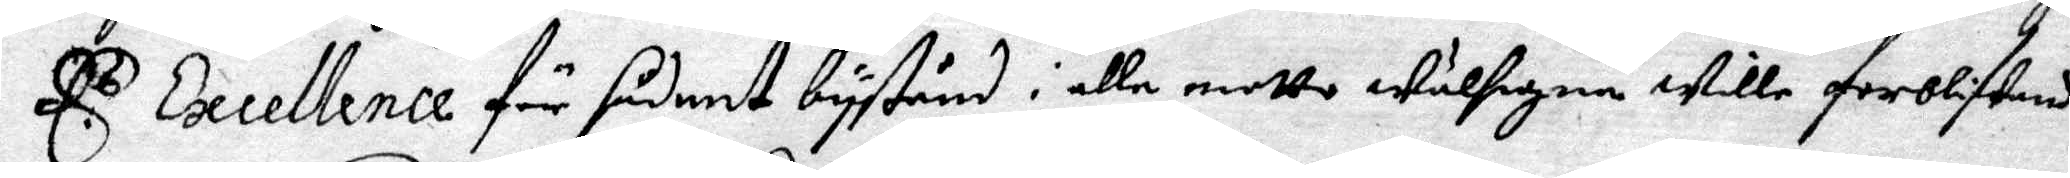E.s Excellence för sådant bystånd i alle motto välsigne wille forblifwande
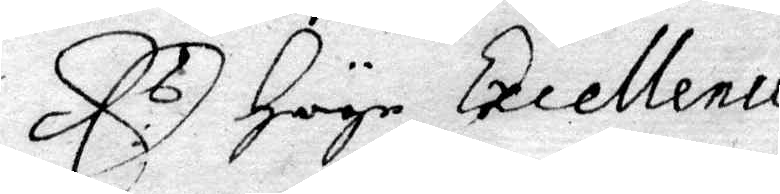E.s Höge Excellence
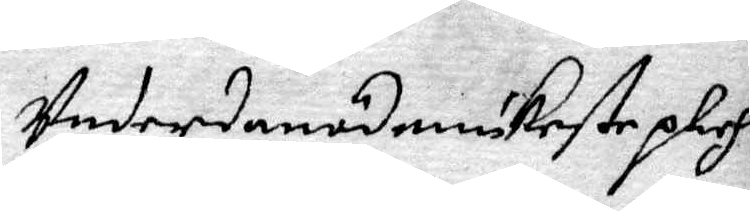underdånödmiukeste plich¬
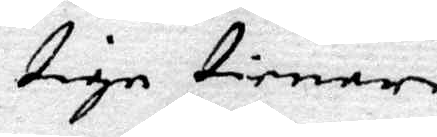tige tienare
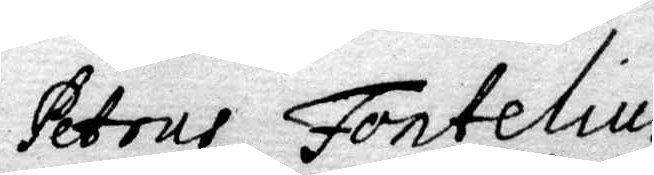Petrus Fontelius
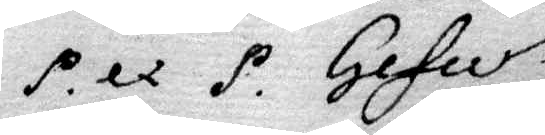P. ex P. Gefle
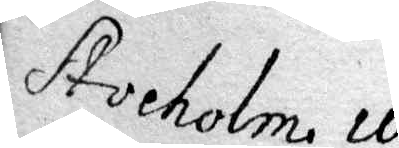Stocholm 10
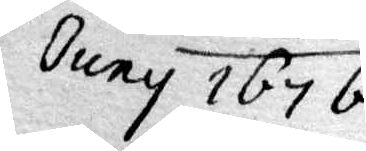Juny 1676.
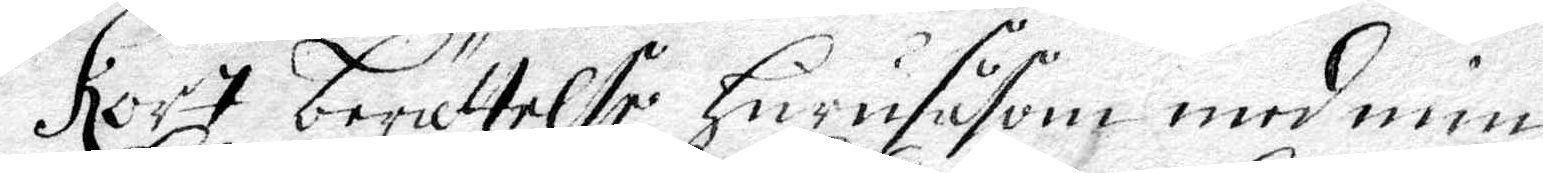Kort berättelse Hurusåsom med min
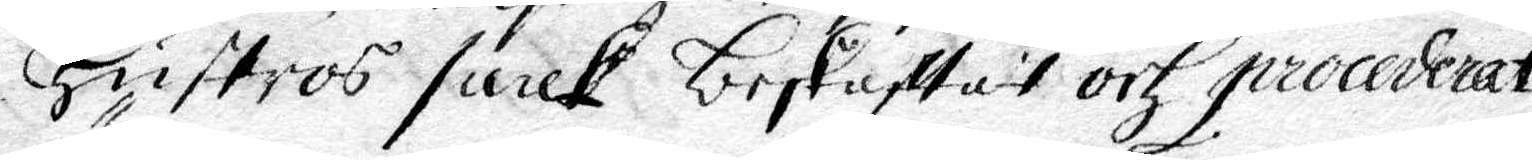Hustos saak beskaffat och procederat
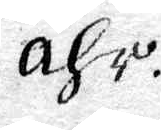ähr.
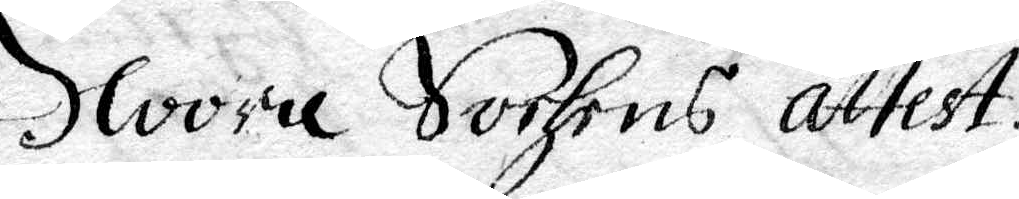Noora Sochns attest.
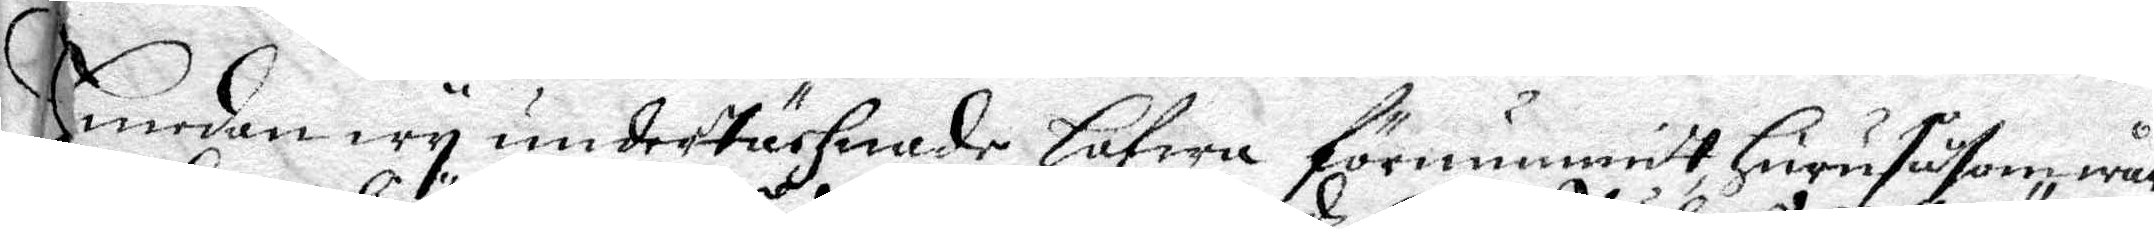Emedan wy undertächnade Hafwa förnummidt Huru såsom wår
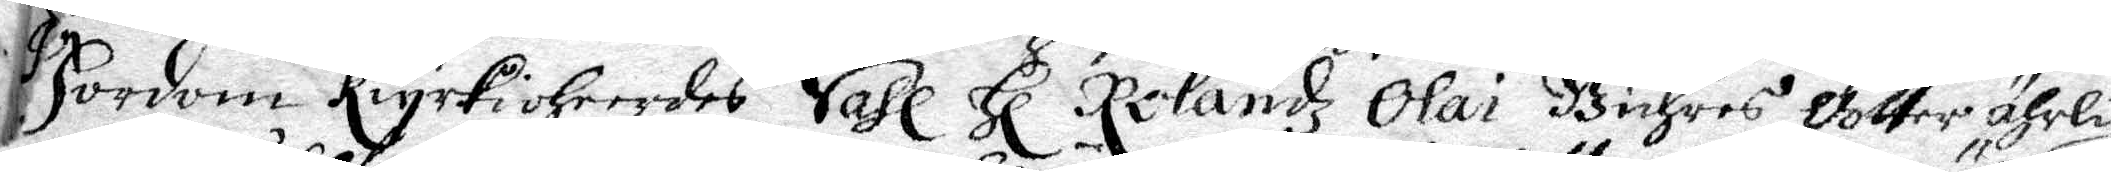Fordom kiyrkioheerdes Sahl Hl Rolandz Olai Buhres dotter ährlig
